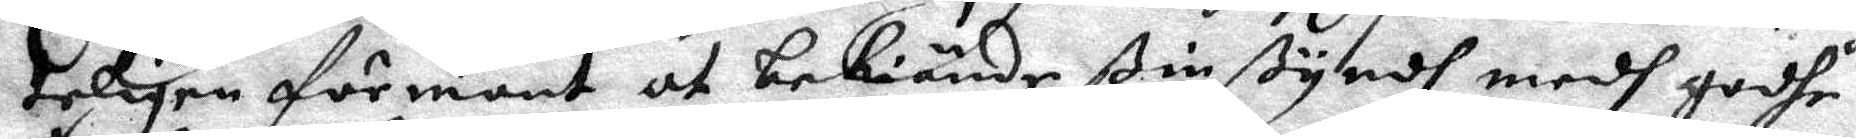teligen förmant at bekiände ßin ßyndh medh godhe
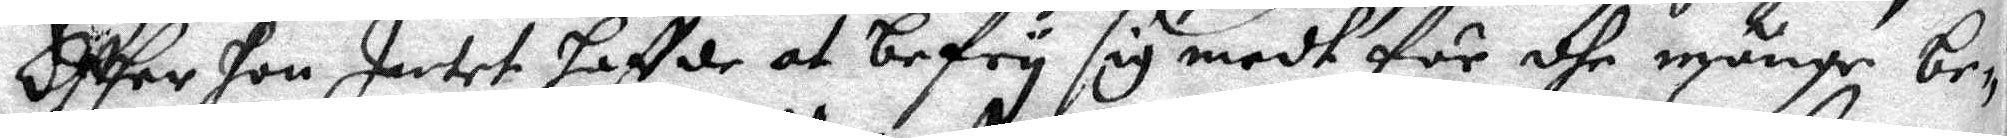Effter hon Intet haffde at befry sig medh för dhe månge be¬
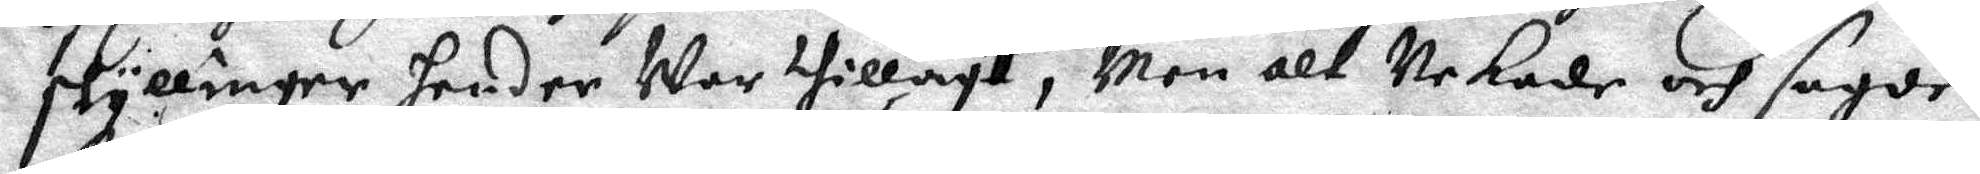skyllinger hender War thillagt, Men alt Nekade och sagde
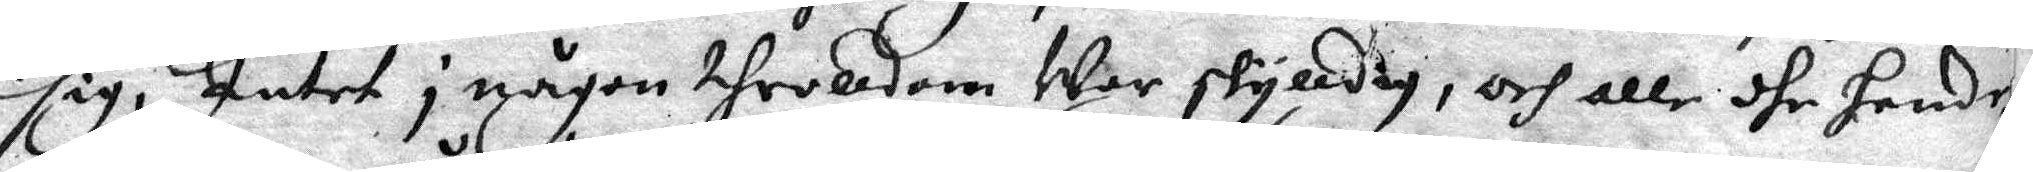sig; Intet i någon throlldom War skylldig, och alle dhe hendr
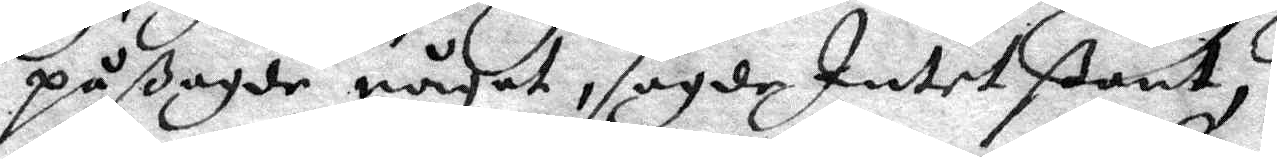påßagde något, sagde Intet ßant;
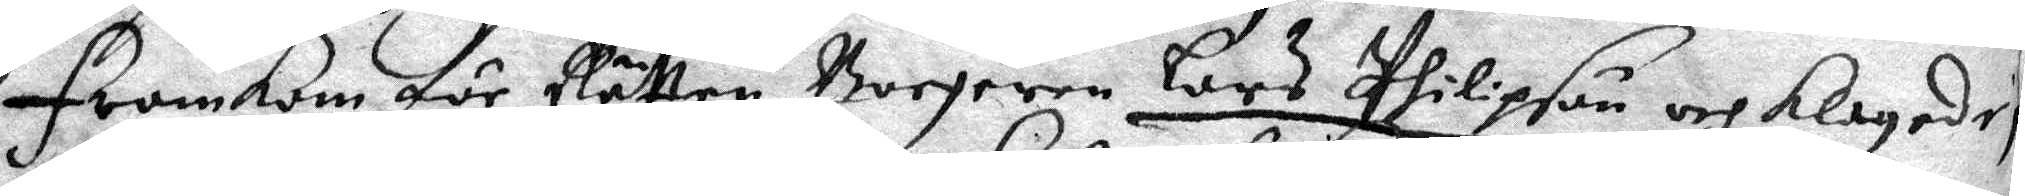Framkom för Rätten Borgeren Lars Philipson och klagade
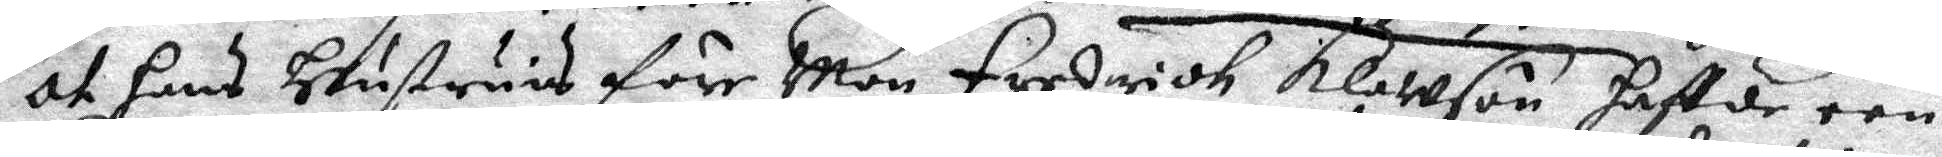at hans Hustruns före Man fredridh Klawson haftde een
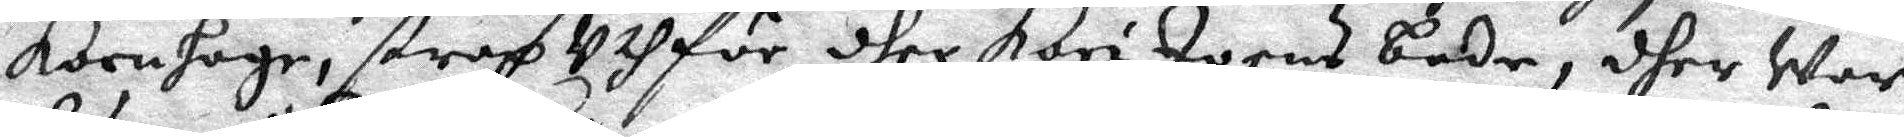kornhage, strax uthför dher Kari Joens bode, dher war
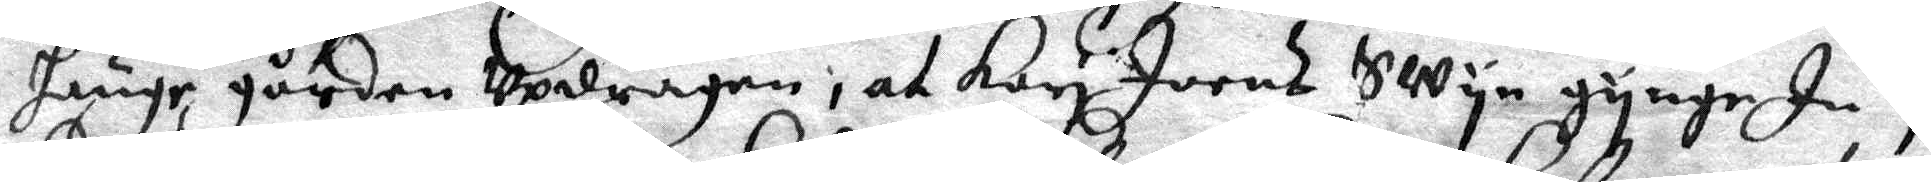hänge gården updragen; at Kari Joens Swyn gynge In i
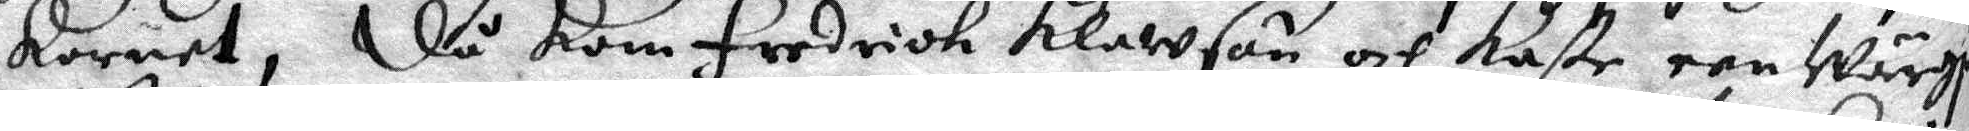kornet, Då kom Fredrick klawson och kaste een Wärgja
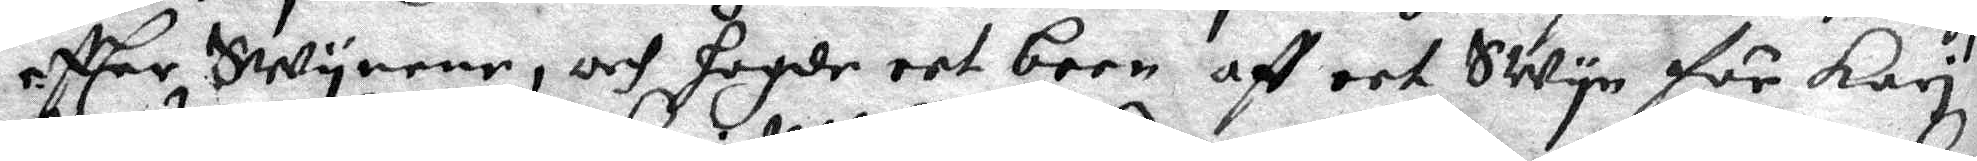effter SWynene, och hogde eet been aff eet Swyn för Kari
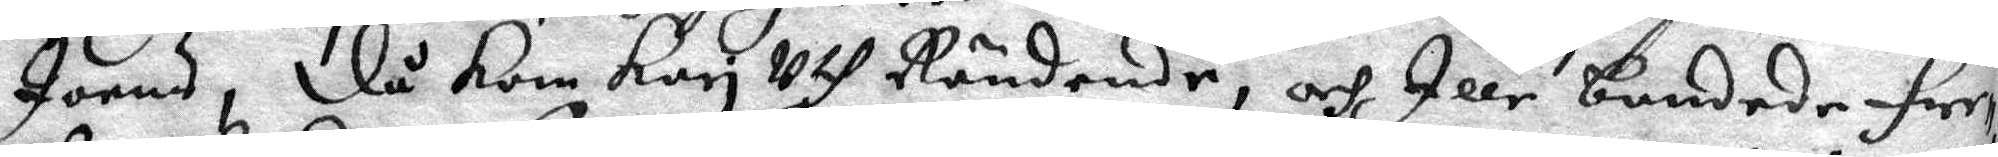Joens, då kom Kari Uth Rändende, och Ille bandede Fre¬
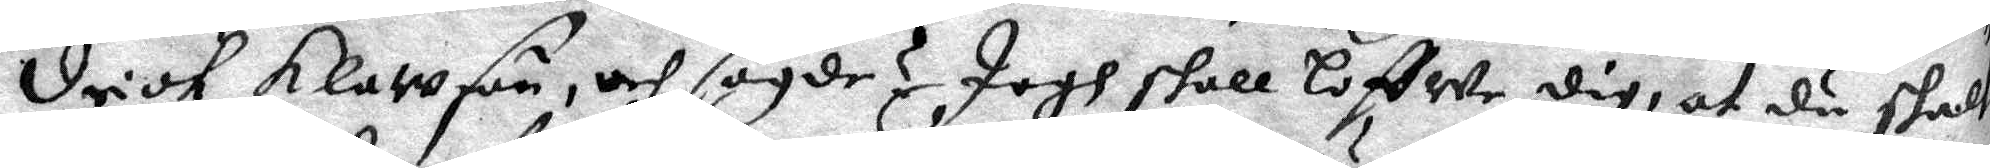Drik Klawson, och sagde, Jagh skall loffwe dig, af du skal
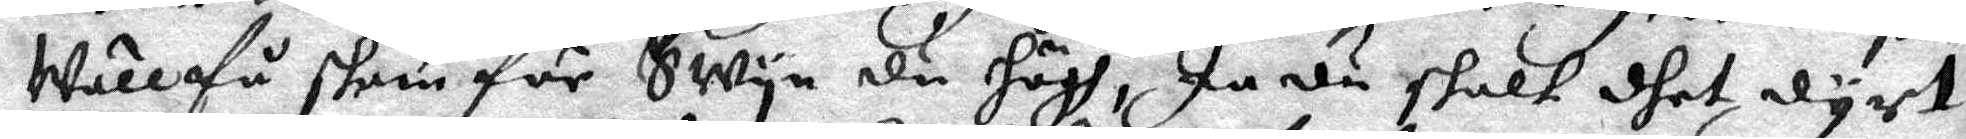wäll få slem för Swyn du högh, Ja du skalt dhet dyrt
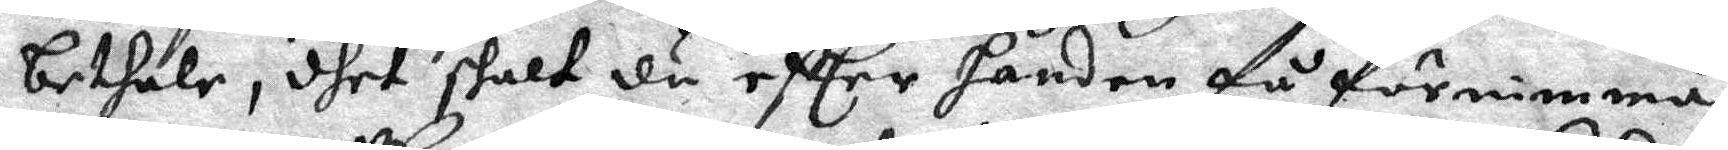bethale, dhet skalt du effter handen få förnimma,
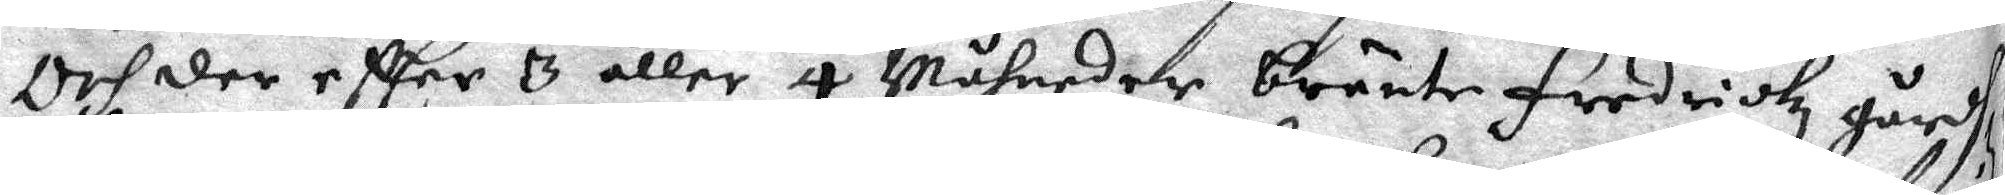Och der eftter 3 äller 4 Måhneder bränte fredrickz gårdh
